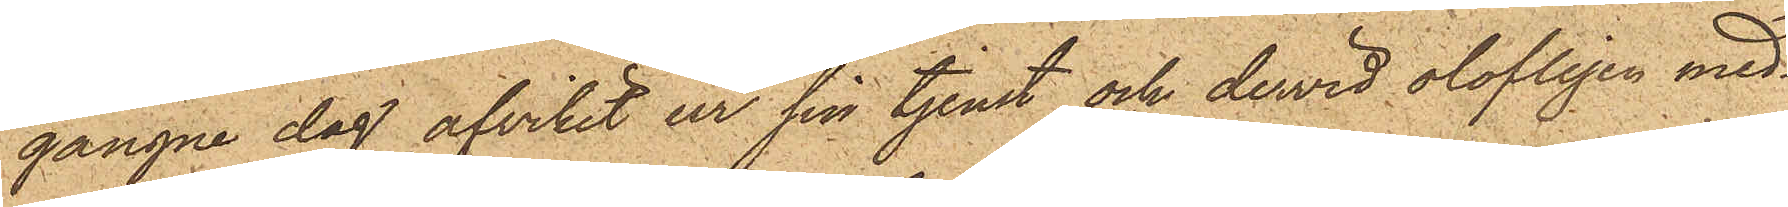gångne dag afvikit ur sin tjenst och dervid olofligen med¬
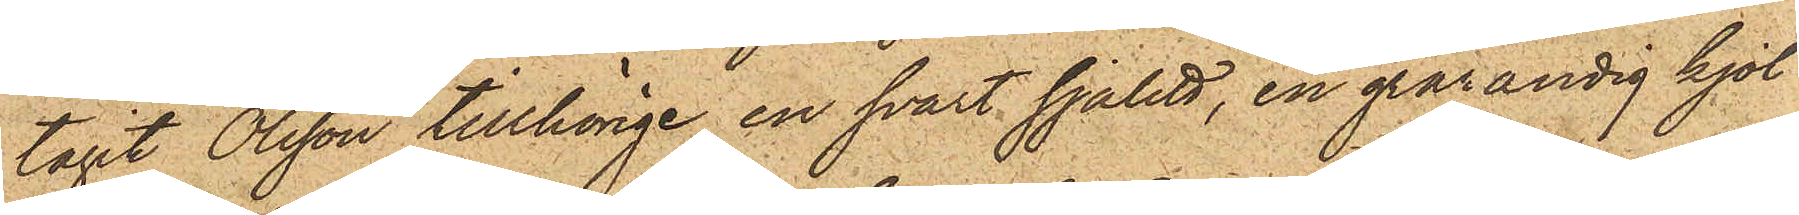tagit Olsson tillhörige en svart sjalett, en grårandig kjol
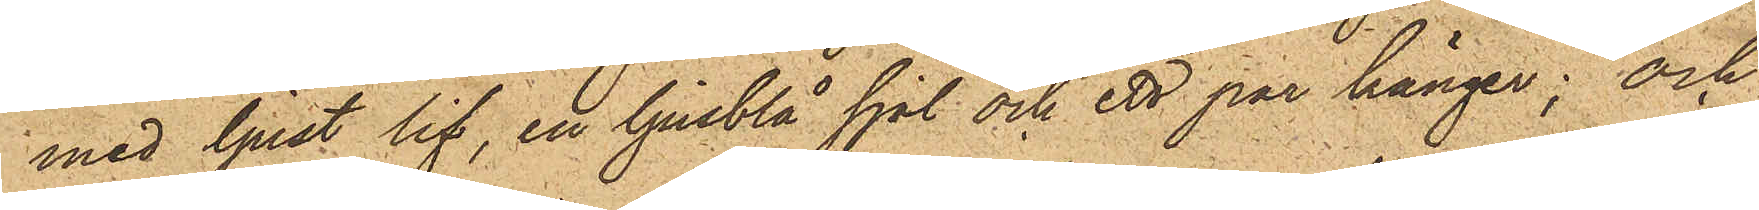med ljust lif, en ljusblå sjal och ett par känger; och
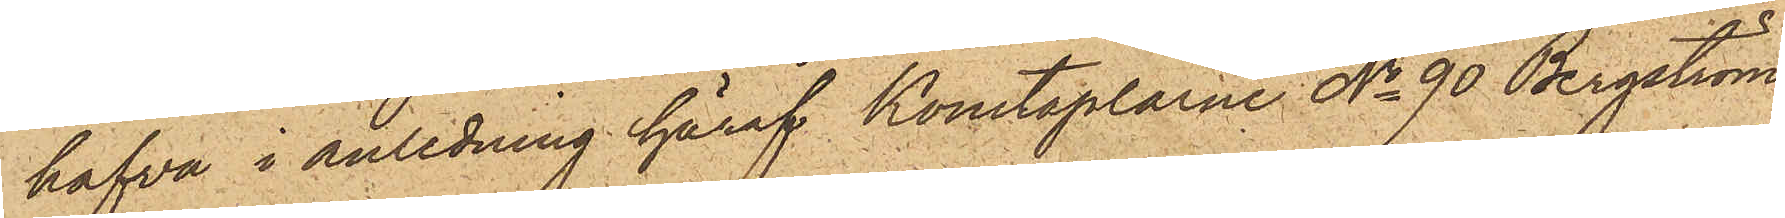hafva i anledning häraf Konstaplarne No 90 Bergström
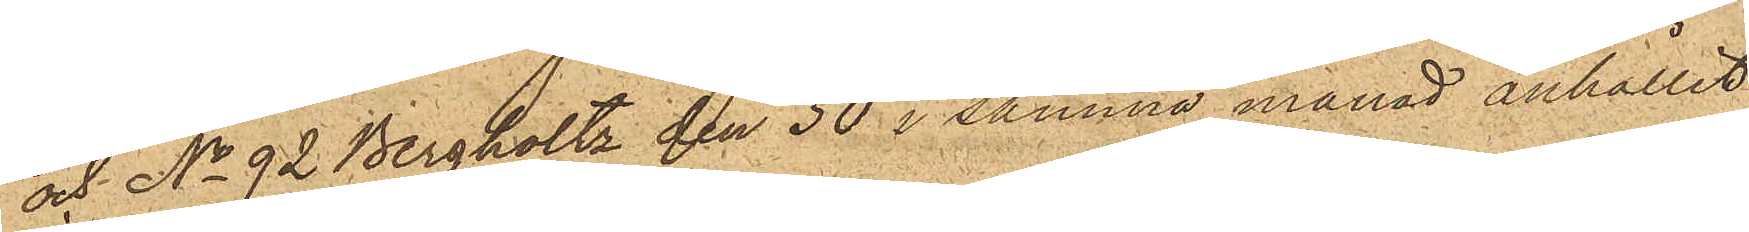och No 92 Bergholtz den 30 i samma månad anhållit
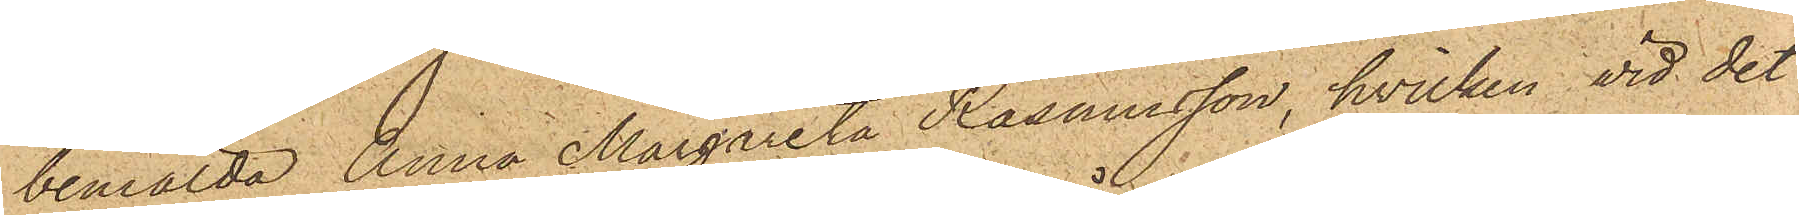bemälda Anna Margreta Rasmusson, hvilken vid det
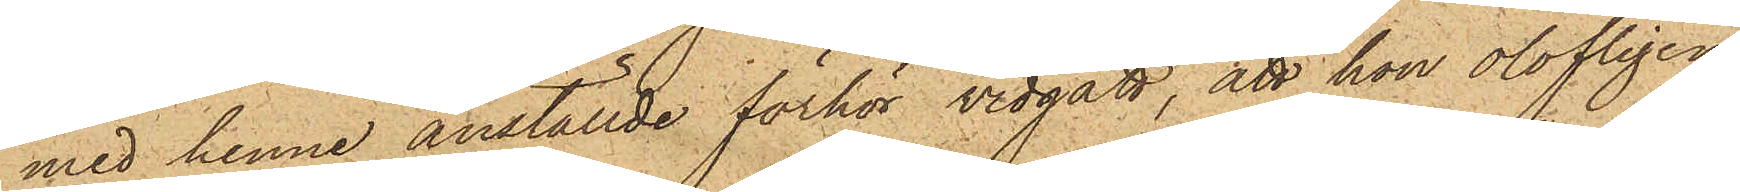med henne anställde förhör vidgått, att hon olofligen
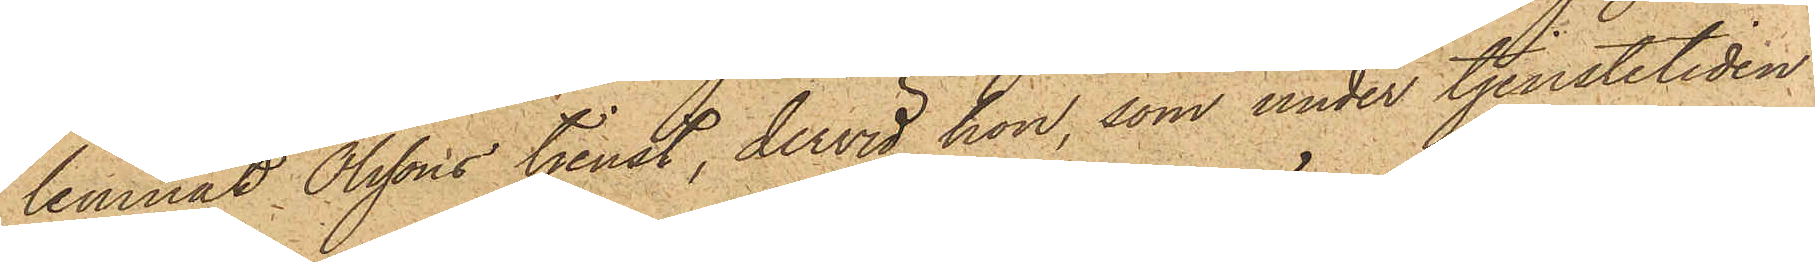lemnat Olssons tjenst, dervid hon, som under tjenstetiden
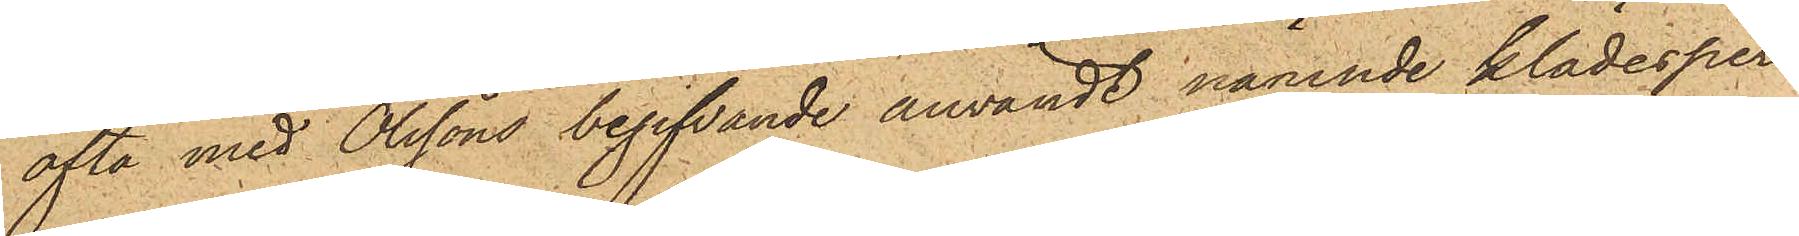ofta med Olssons begifvande användt nämnde klädesper¬
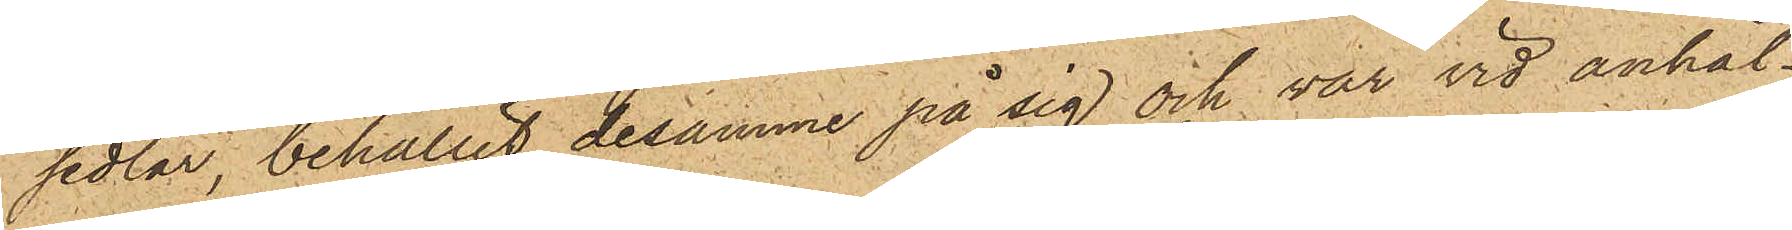sedlar, behållit desamme på sig och var vid anhål¬
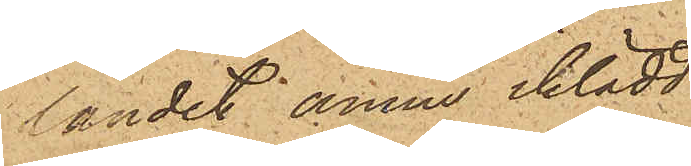landet ännu iklädd
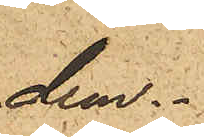dem.
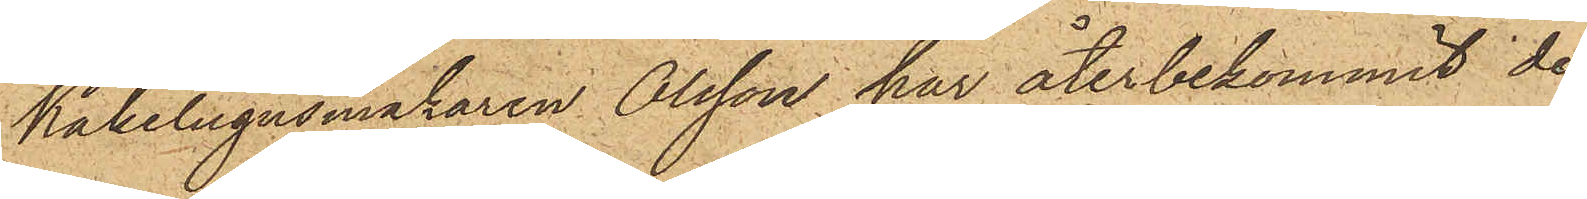Kakelugnsmakaren Olsson har återbekommit de
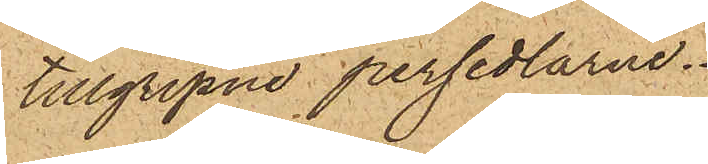tillgripne persedlarne.
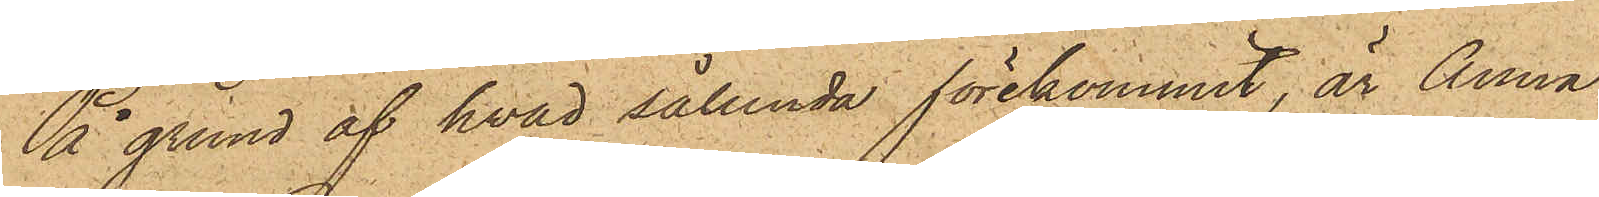På grund af hvad sålunda förekommit, är Anna
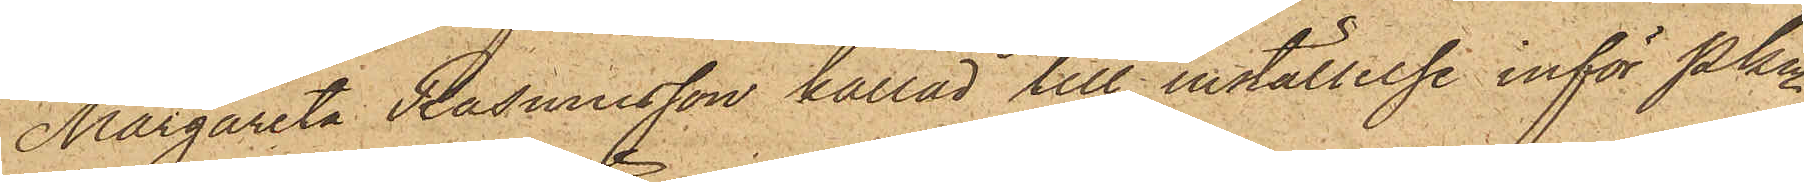Margareta Rasmusson kallad till inställelse inför Pkn
